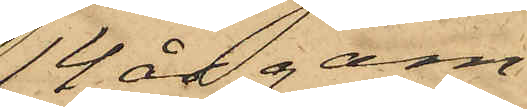14 års gam¬
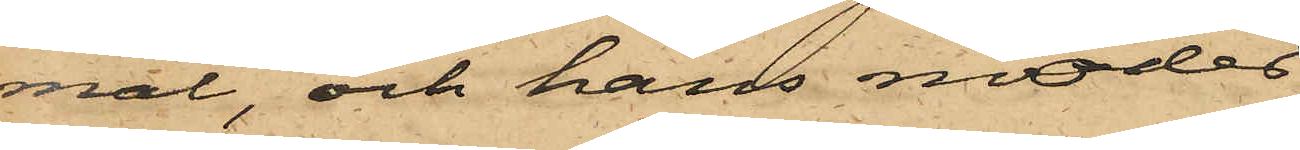mal, och hans moder
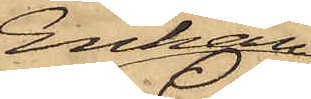Enkan
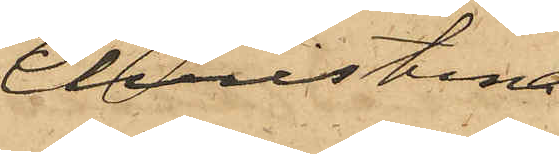Christina
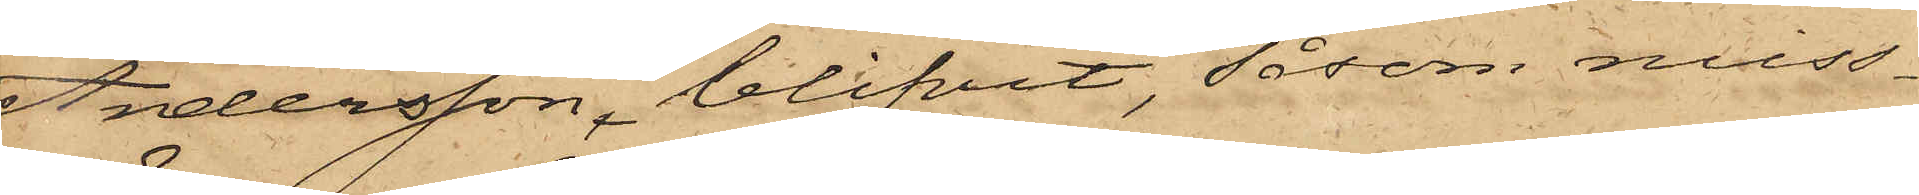Andersson, blifvit, såsom miss¬
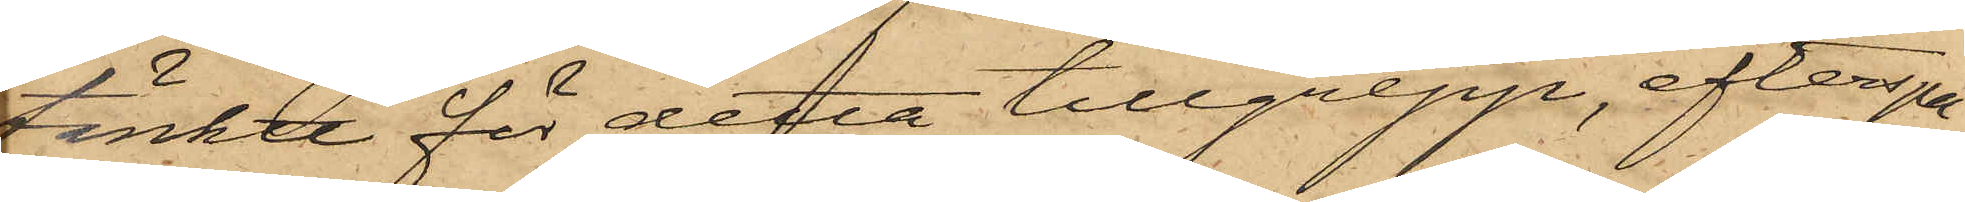tänkte för detta tillgrepp, efterspa¬
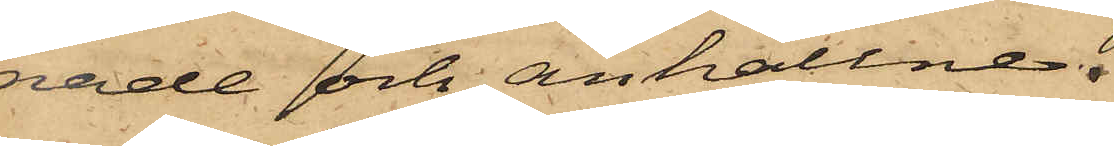nade och anhållne.
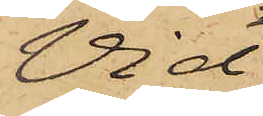Vid
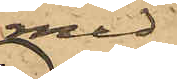med
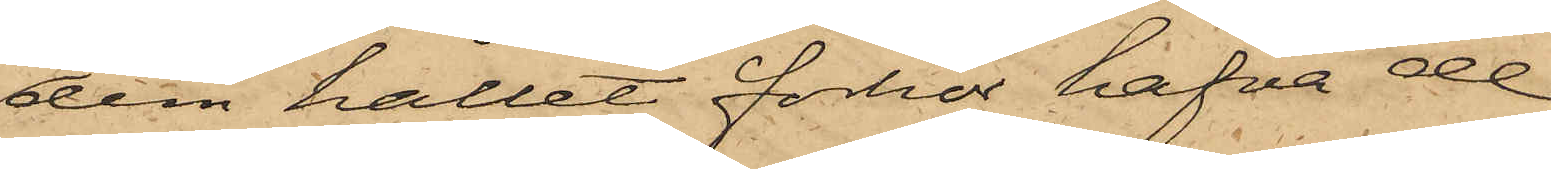dem hållet förhör hafva de
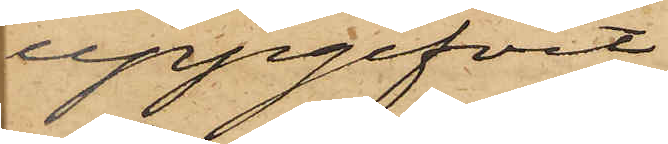uppgifvit
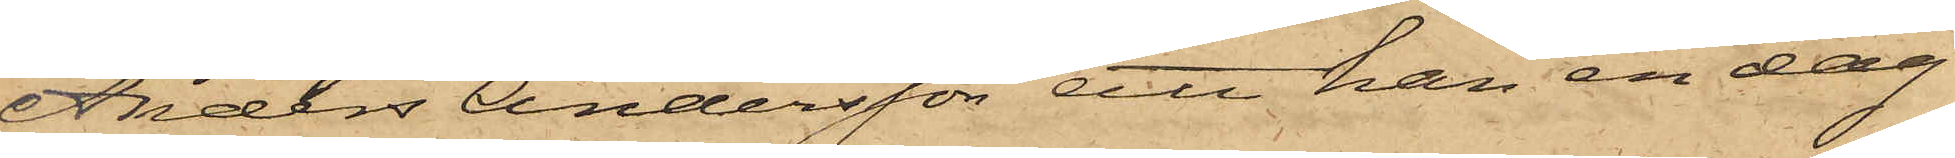Anders Andersson, att han en dag
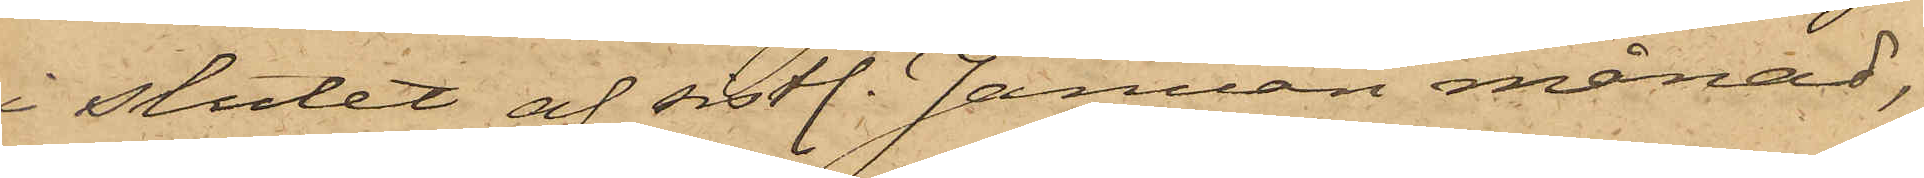i slutet af sistl. Januari månad,
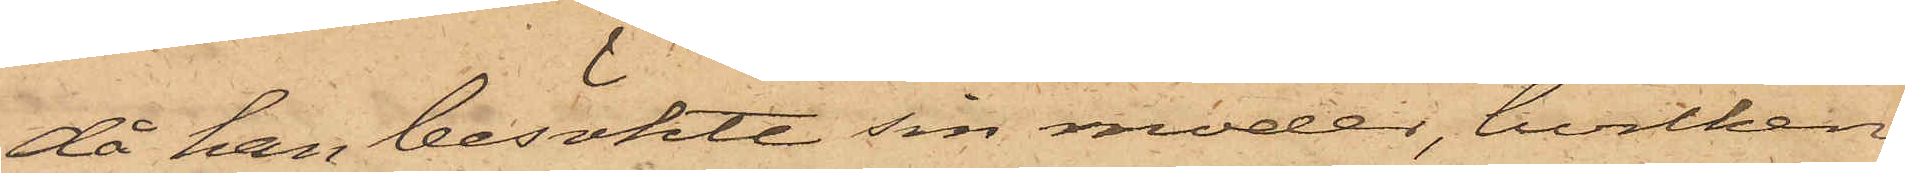då han besökte sin moder, hvilken
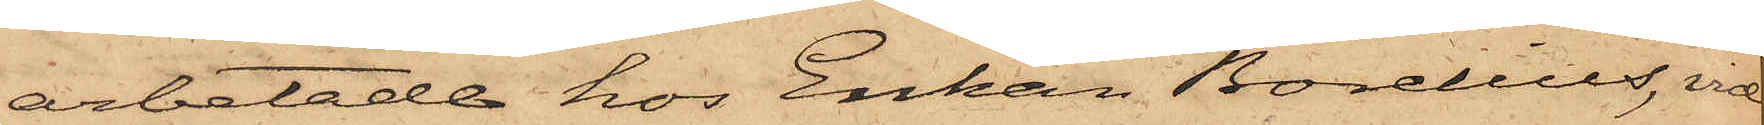arbetade hos Enkan Borelius, vid
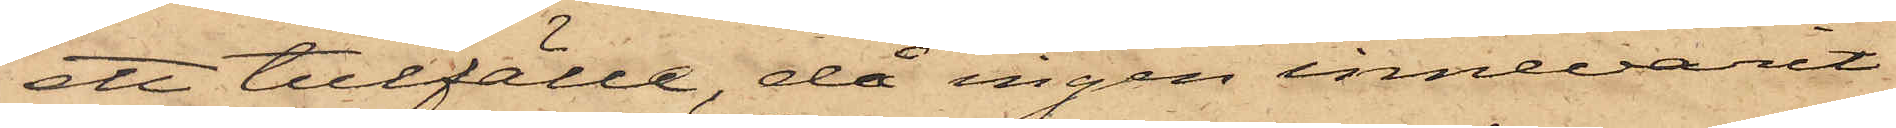ett tillfälle, då ingen innevarit i
